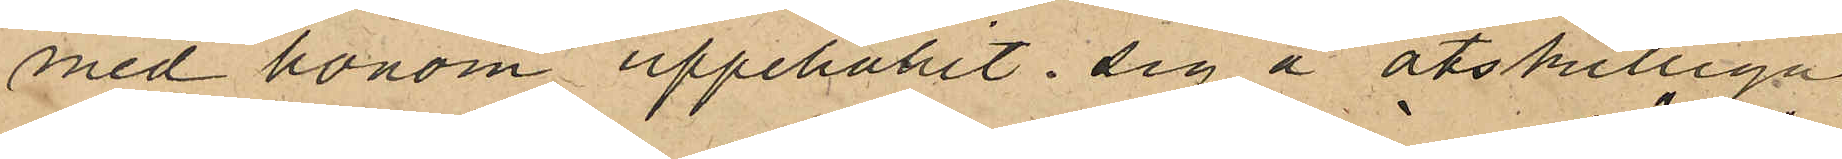med honom uppehållit sig å åtskilliga
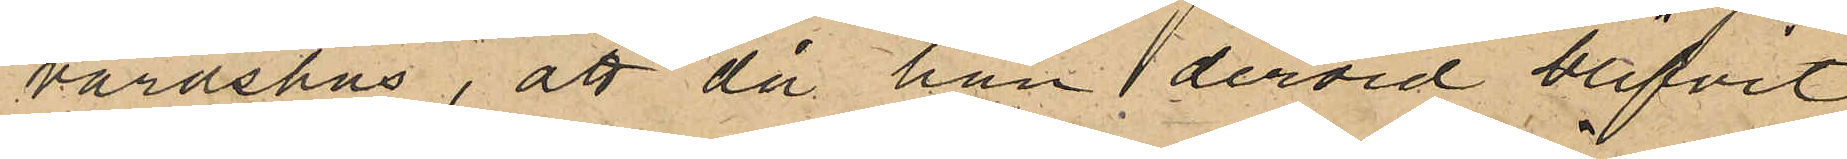värdshus, att då han dervid blifvit
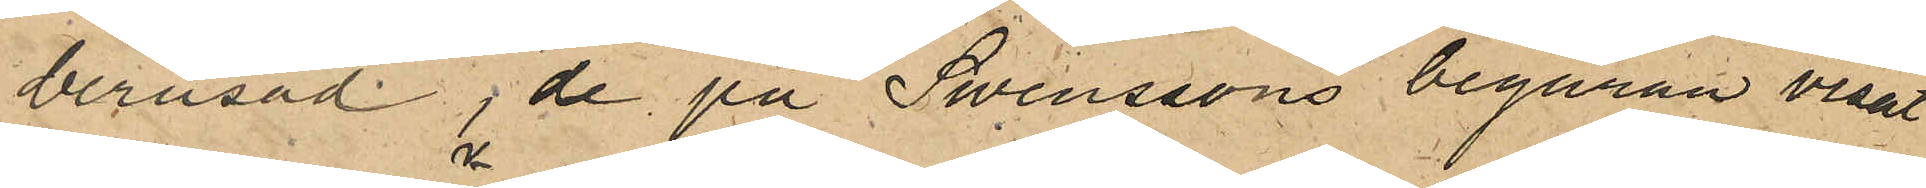berusad, de på Swenssons begäran visat
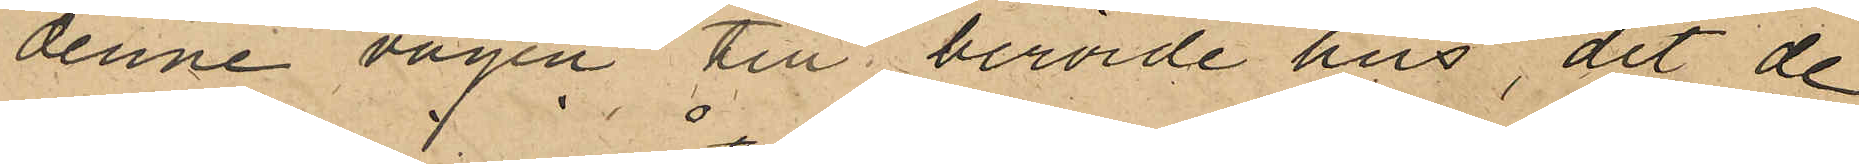denne vägen till berörde hus, dit de
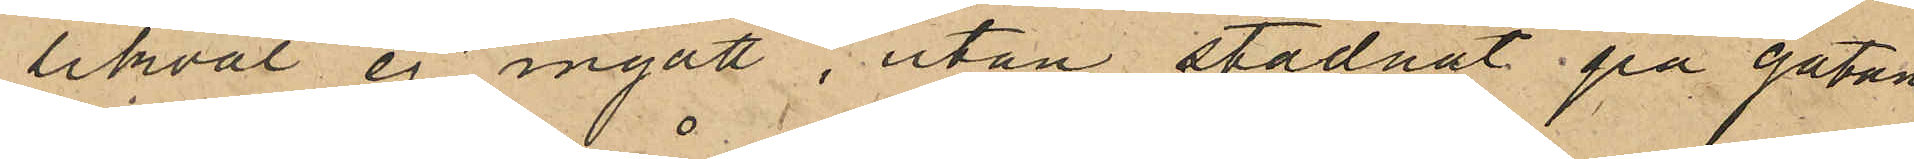likväl ej ingått, utan stadnat på gatan
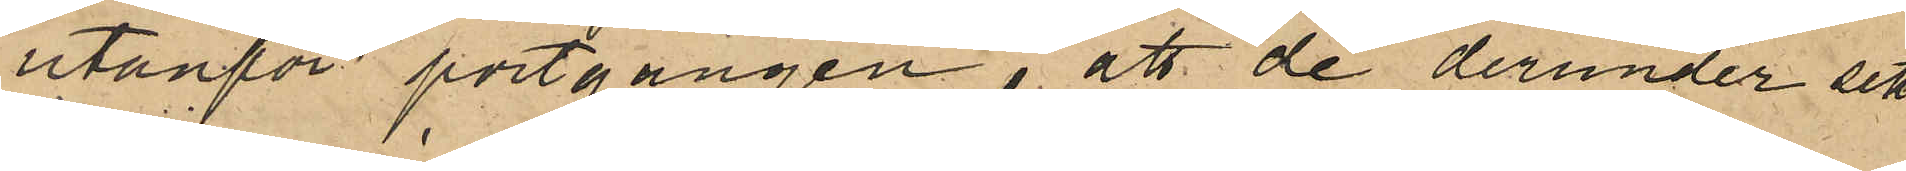utanför portgången, att de derunder sett
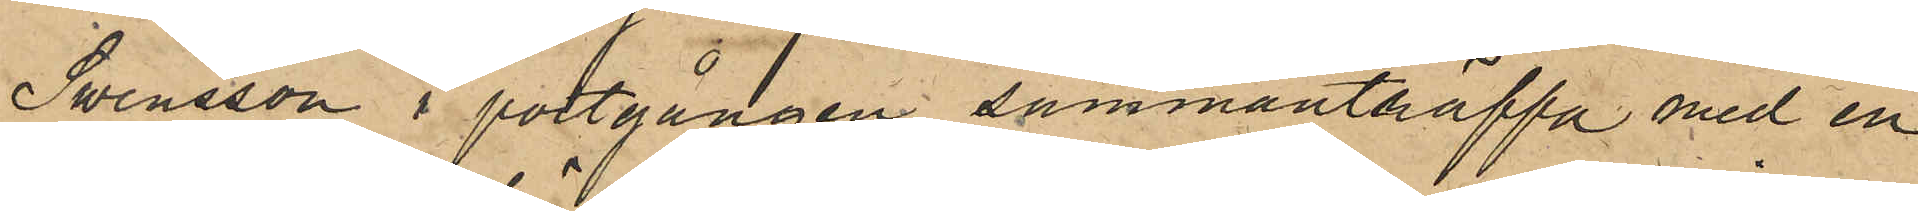Swensson i portgången sammanträffa med en
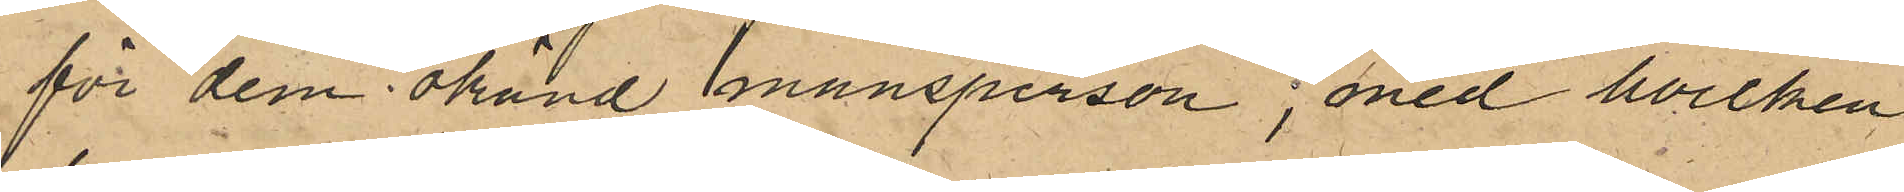för dem okänd mansperson, med hvilken
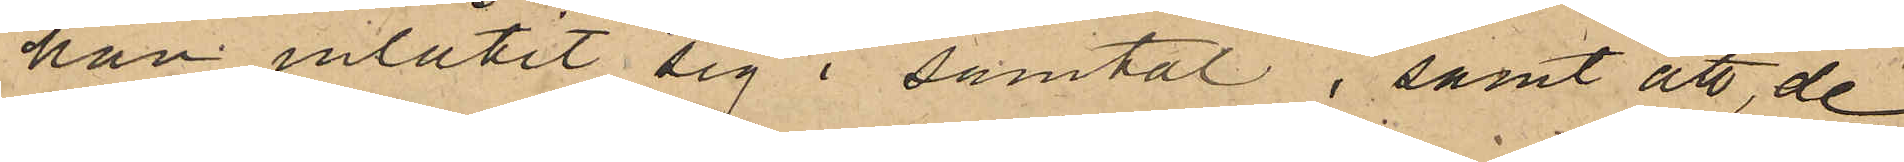han inlåtit sig i samtal; samt att de,
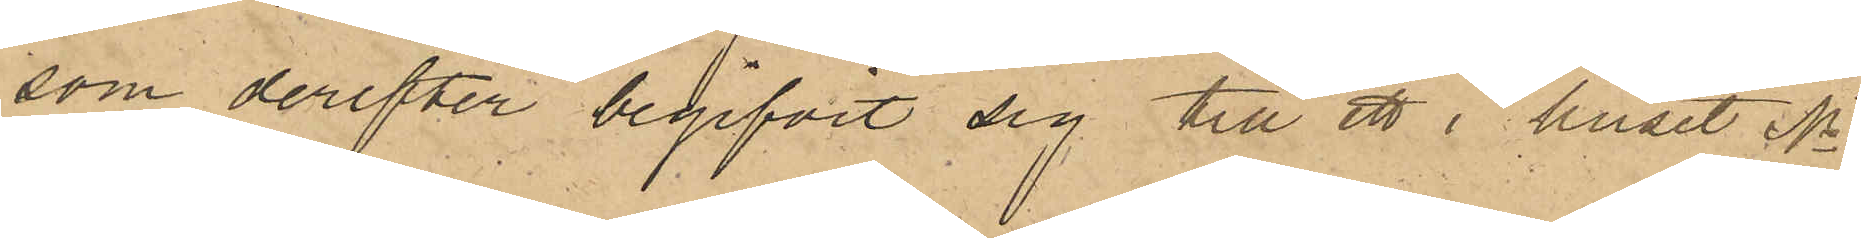som derefter begifvit sig till ett i huset No
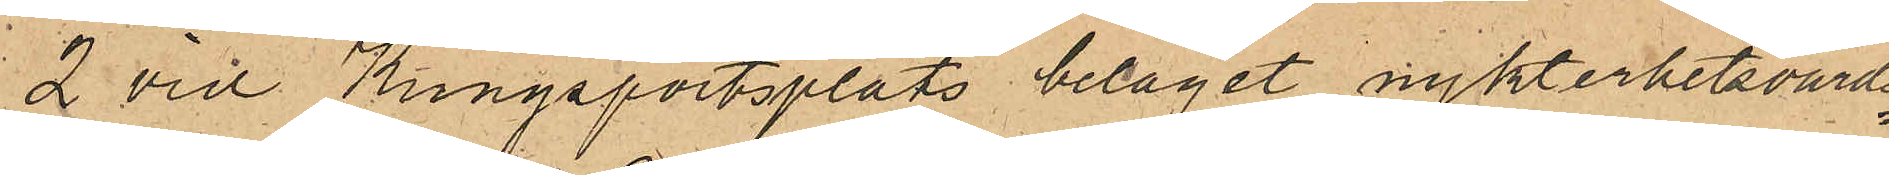2 vid Kungsportsplats beläget nykterhetsvärds¬
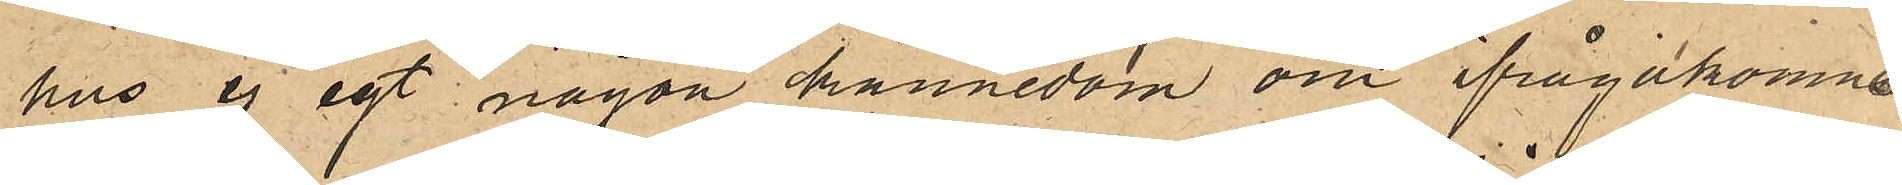hus ej ägt någon kännedom om ifrågakomne
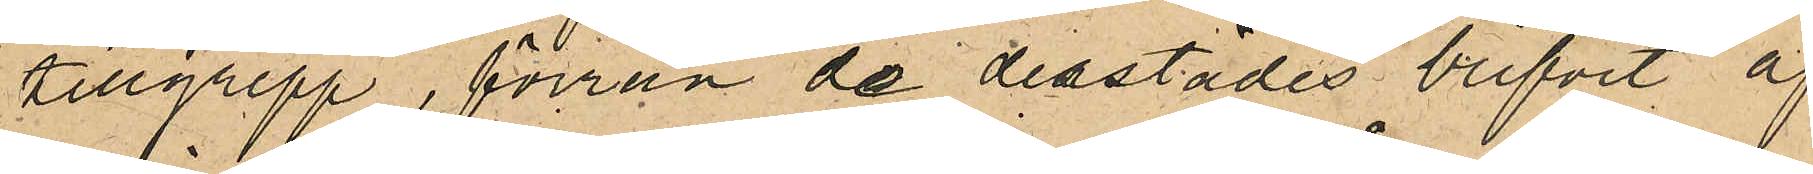tillgrepp, förrän de derstädes blifvit af
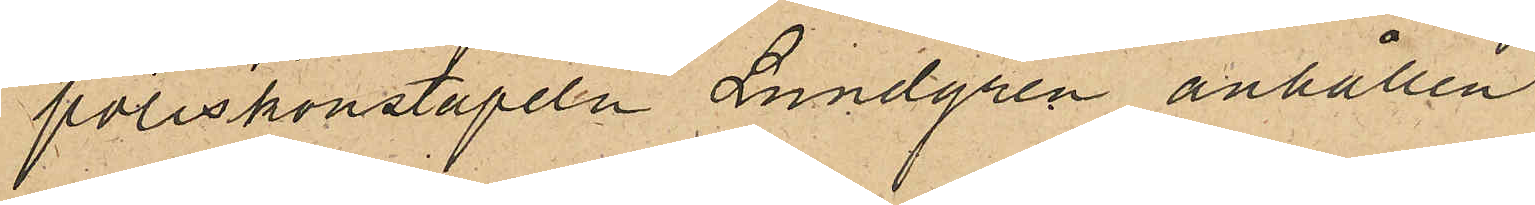poliskonstapeln Lundgren anhållen.
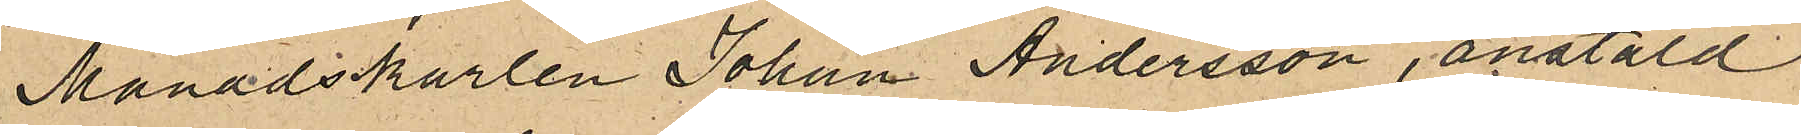Månadskarlen Johan Andersson, anstäld
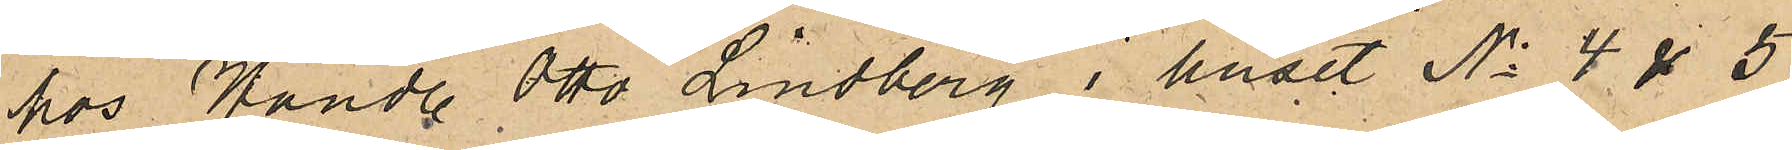 hos Handl. Otto Lindberg i huset No 4 & 5
